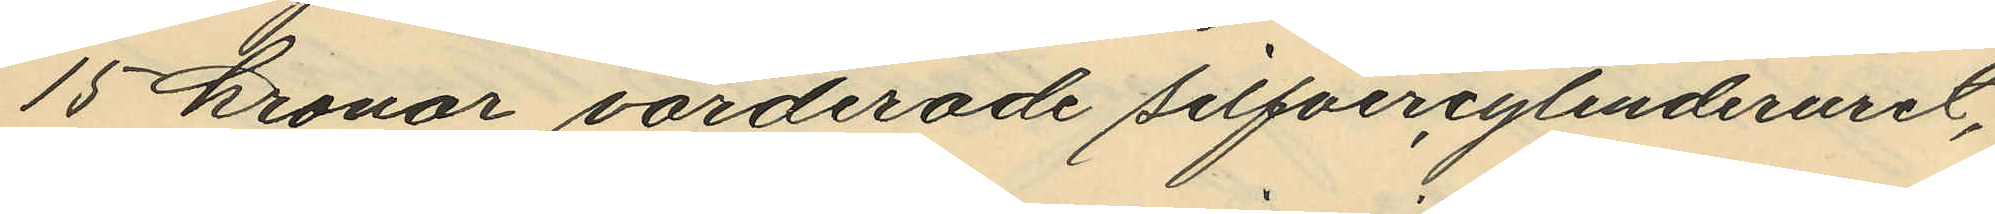15 kronor värderade silfvercylinderuret,
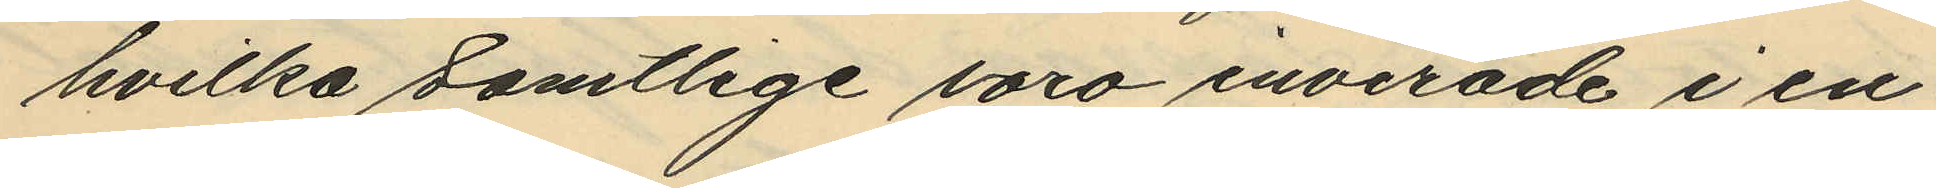hvilka samtlige voro invirade i en
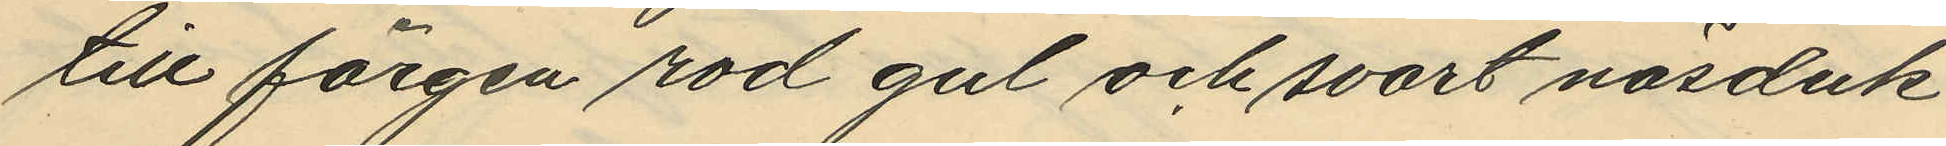till färgen röd gul och svart näsduk
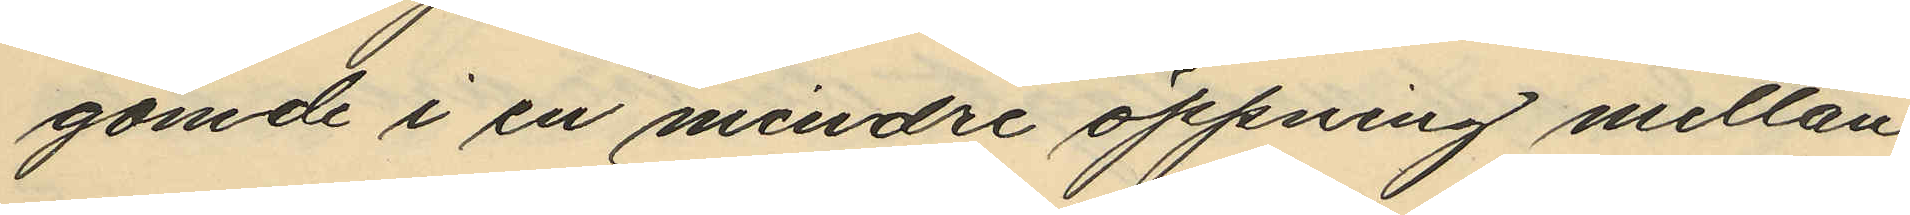gömde i en mindre öppning mellan
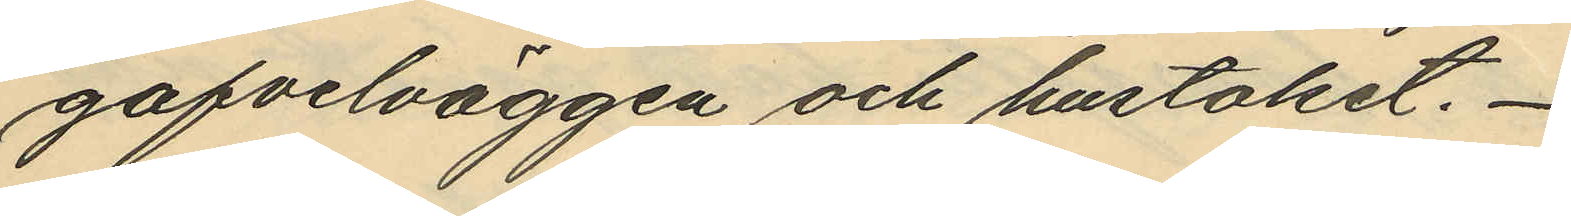gafvelväggen och hustaket.
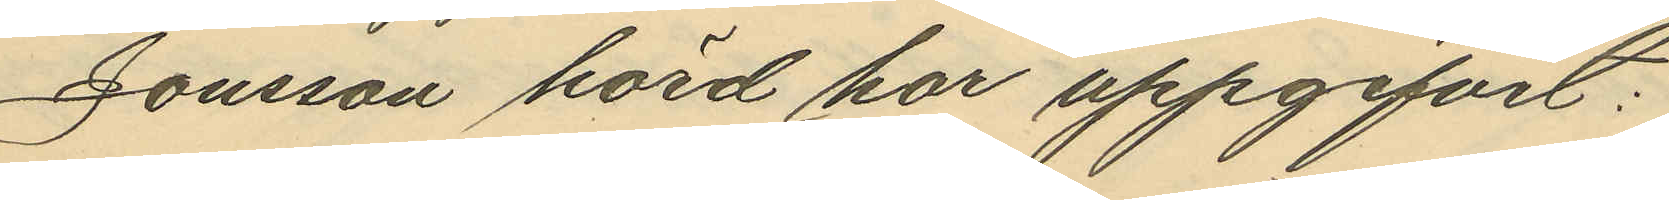Jonsson hörd har uppgifvit:
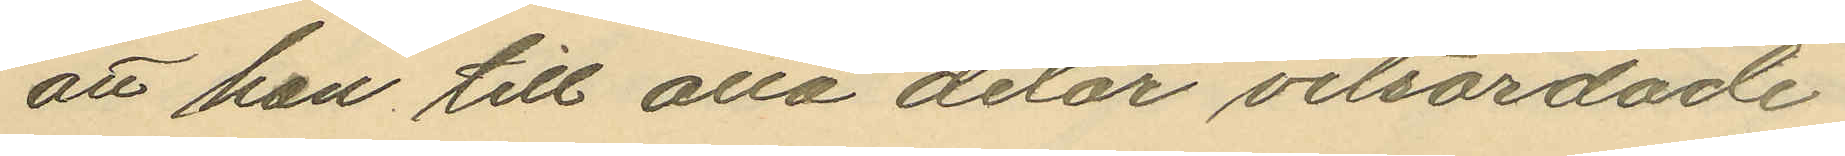att han till alla delar vitsordade
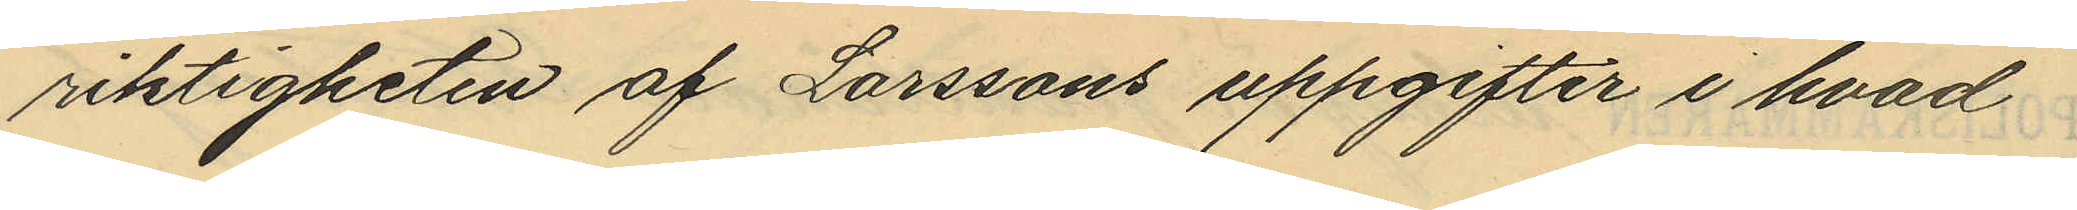riktigheten af Larssons uppgifter i hvad
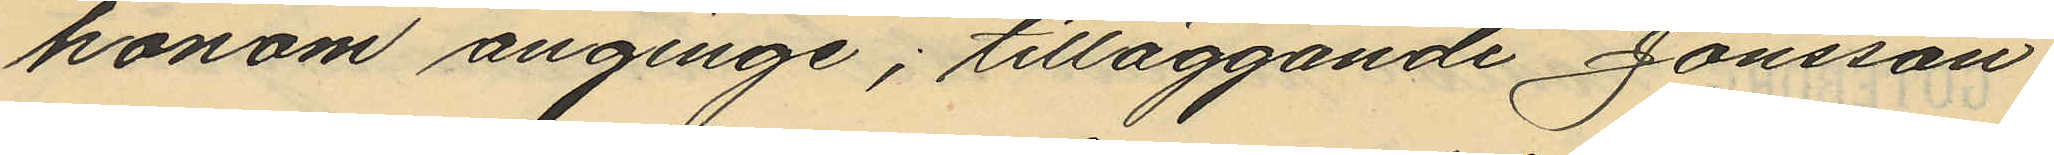honom anginge; tilläggande Jonsson:
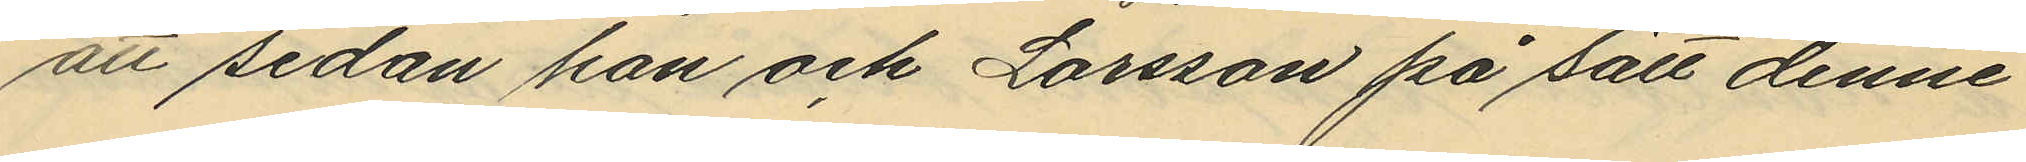att sedan han och Larsson på sätt denne
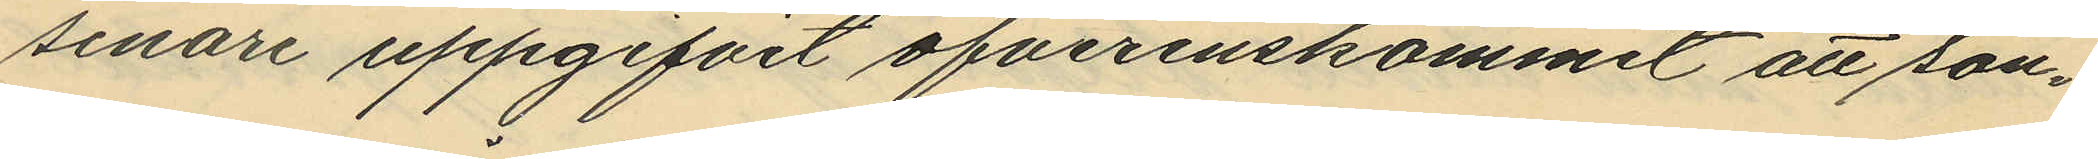senare uppgifvit öfverenskommit att sön¬
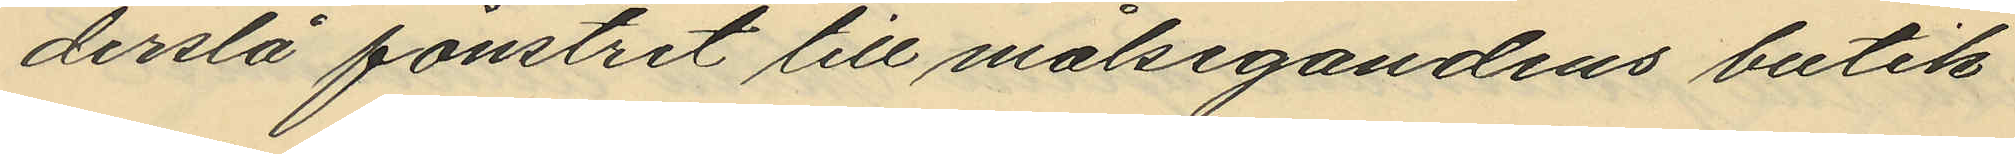derslå fönstret till målsegandens butik
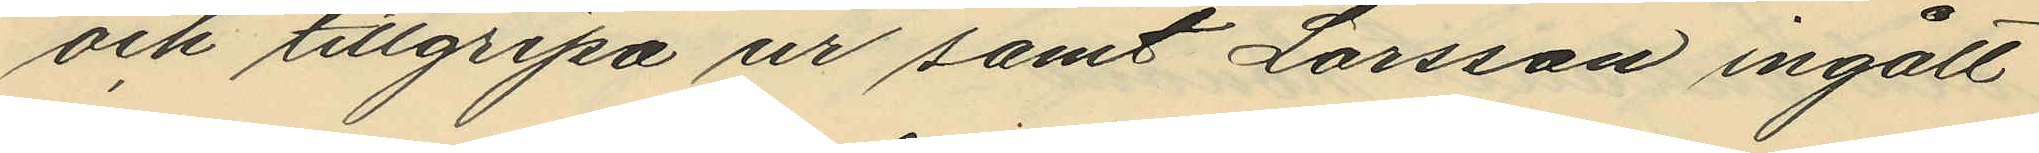och tillgripa ur samt Larsson ingått
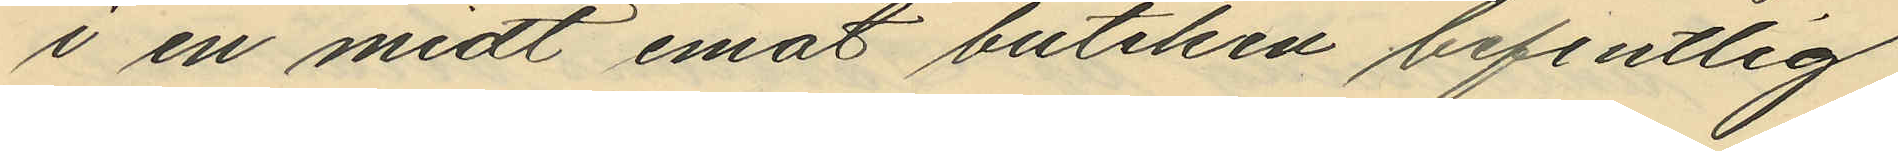i en midt emot butiken befintlig
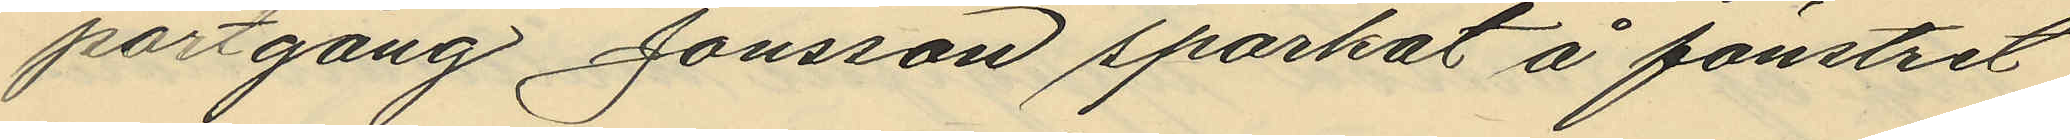portgång Jonsson sparkat å fönstret
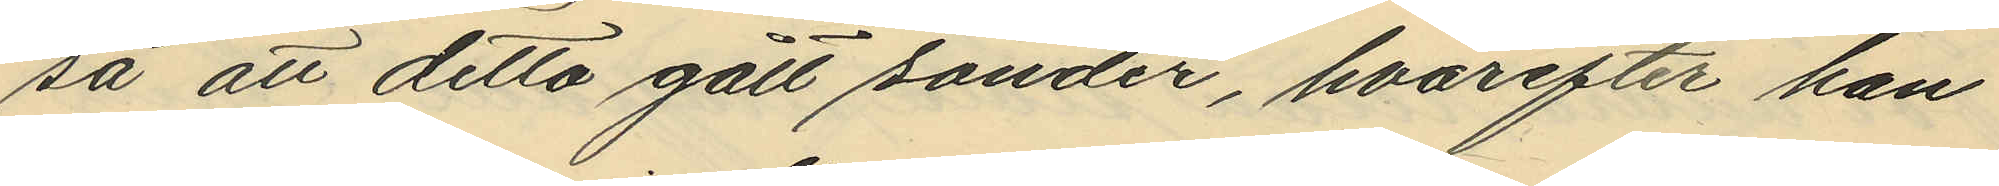så att detta gått sönder, hvarefter han
